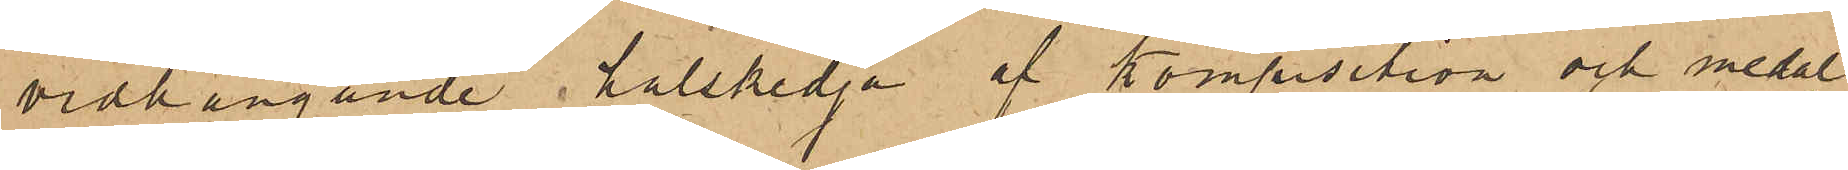vidhängande halskedja af komposition och medal¬
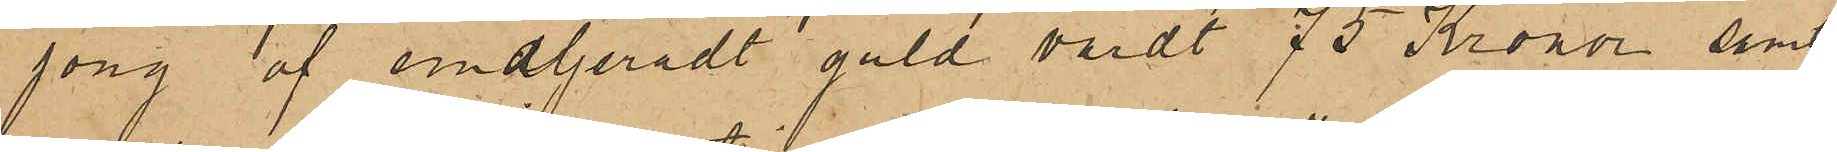jong af emaljeradt guld värdt 75 Kronor, samt
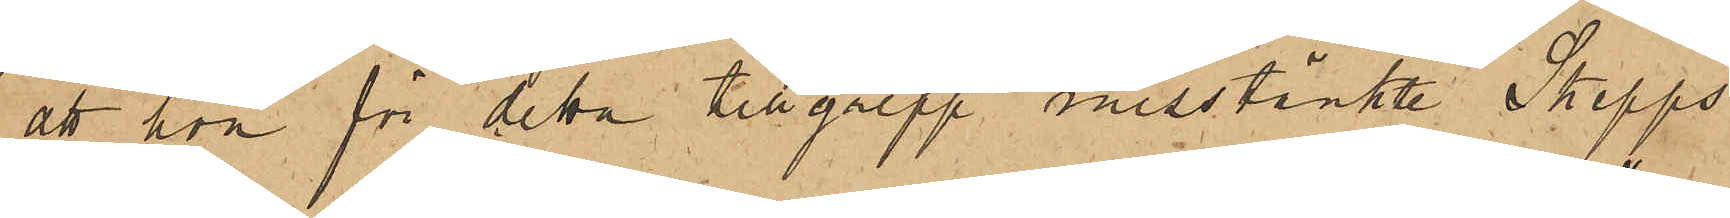att hon för detta tillgrepp misstänkte Skepps¬
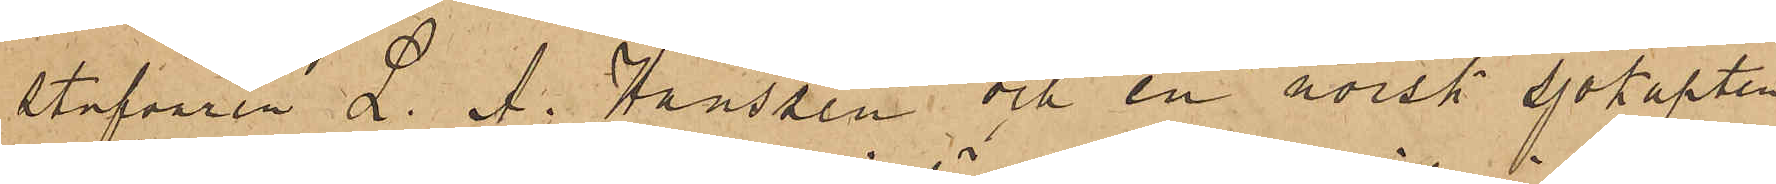stufvaren L. A. Hanssen och en norsk Sjökapten
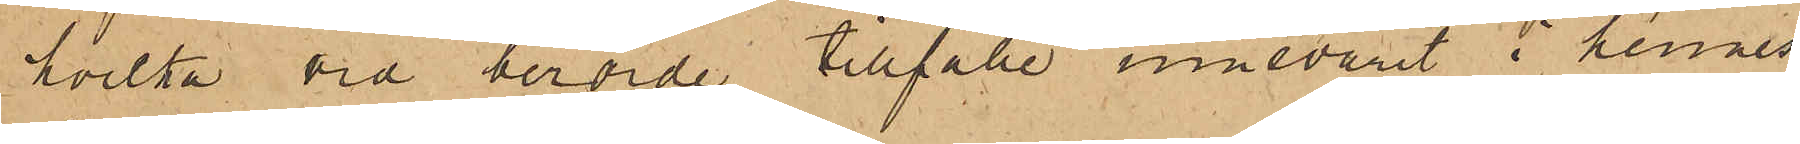hvilka vid berörde tillfälle innevarit i hennes
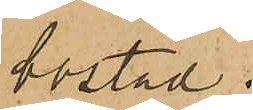bostad.
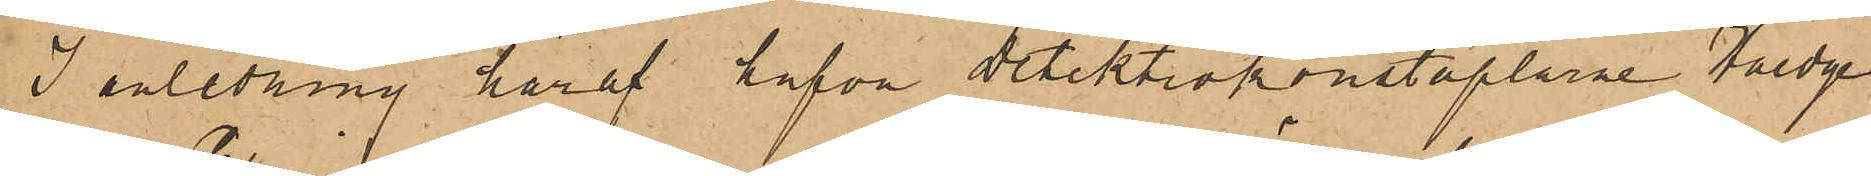I anledning häraf hafva Detektivkonstaplarne Haedge
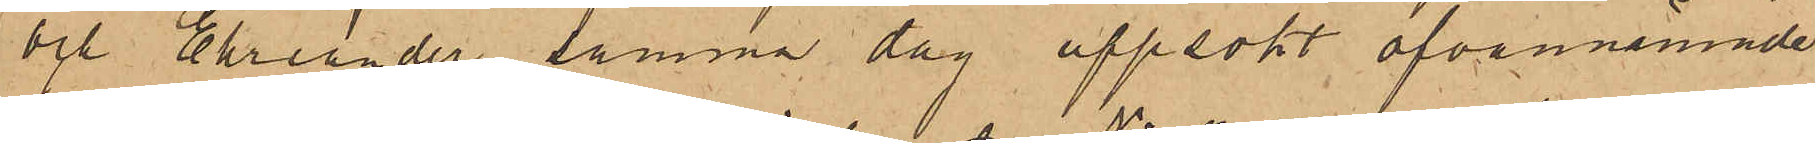och Ehriander samma dag uppsökt ofvannämnde
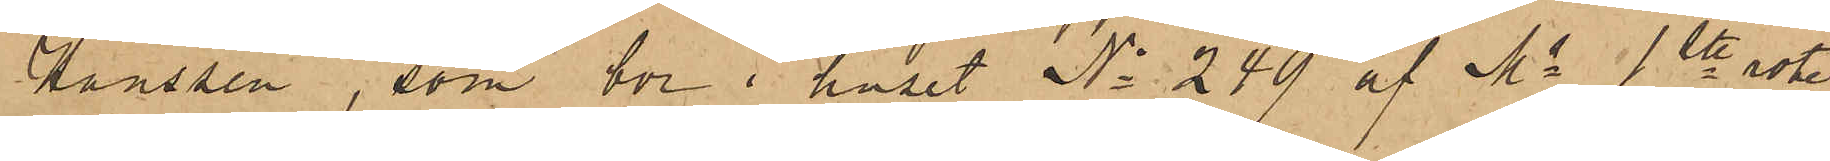Hanssen, som bor i huset No 249 af Ms 1ste rote,
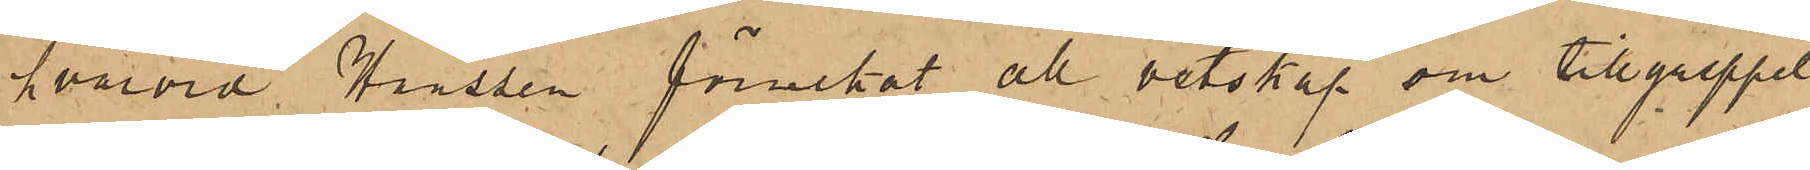hvarvid Hanssen förnekat allt vetskap om tillgreppet
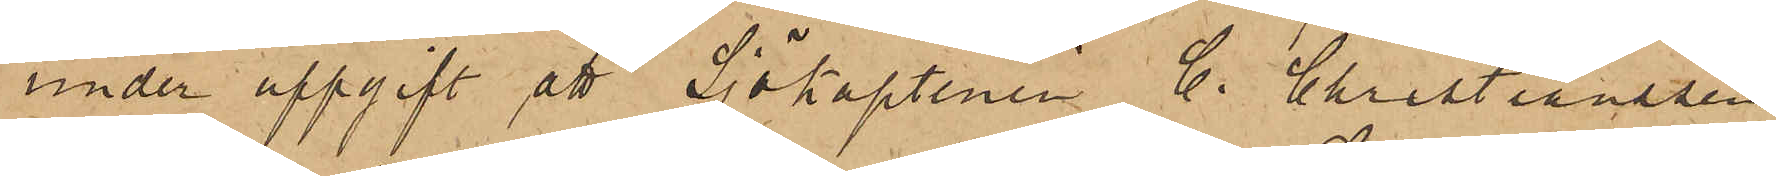under uppgift att Sjökaptenen C. Christianssen
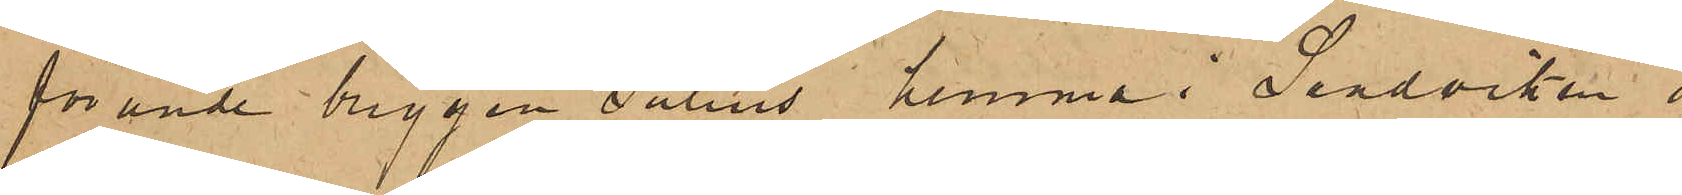förande briggen Julius hemma i Sandviken i
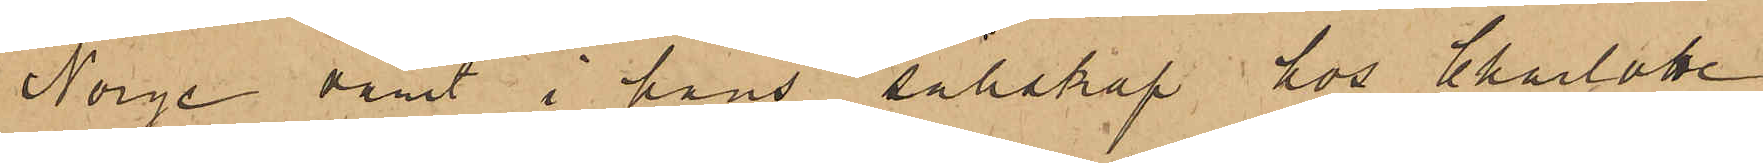Norge varit i hans sällskap hos Charlote
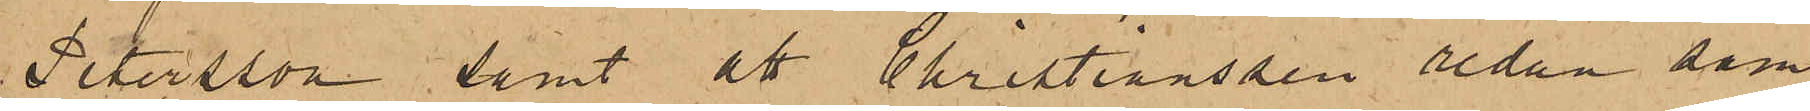Petersson, samt att Christianssen redan sam¬
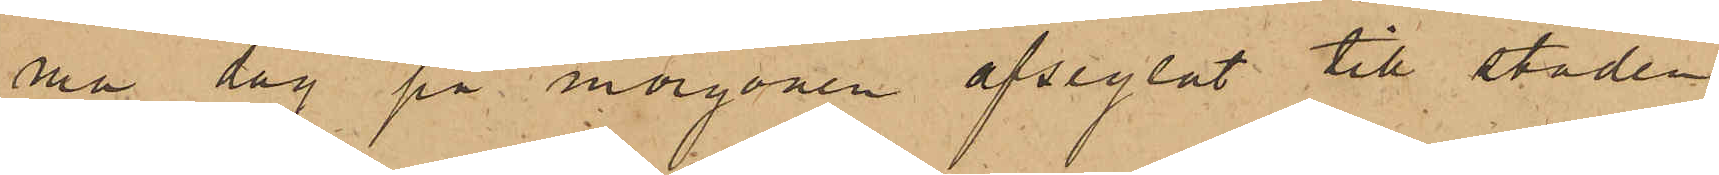ma dag på morgonen afseglat till staden
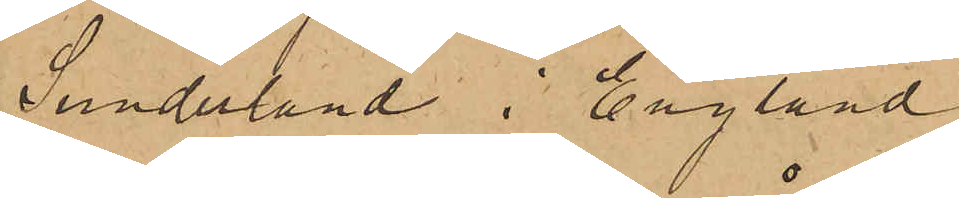Sunderland i England.
